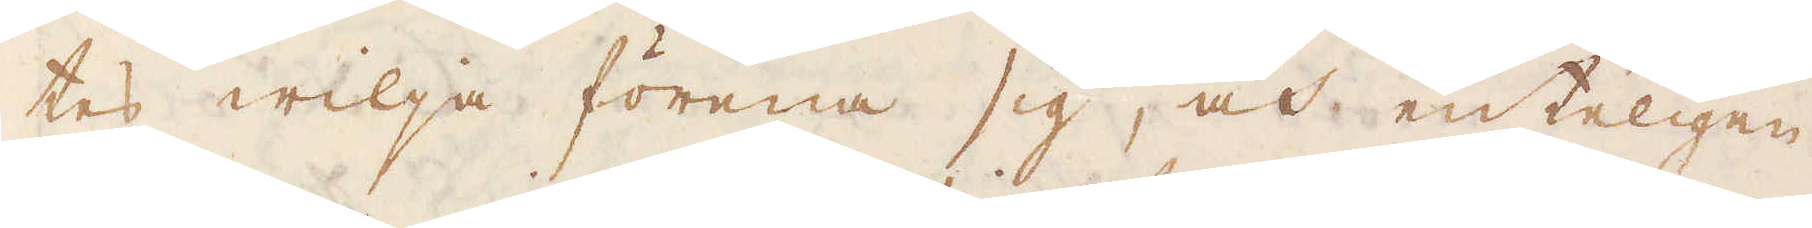tes wilja förena sig, och enteligen
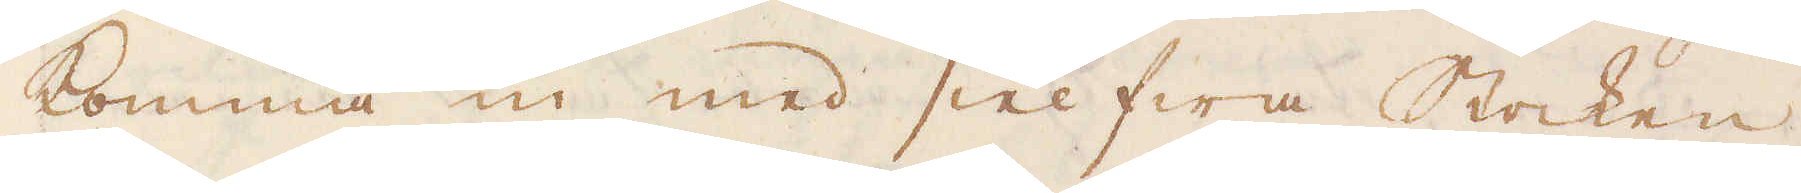komma in med sielfwa Stocken.
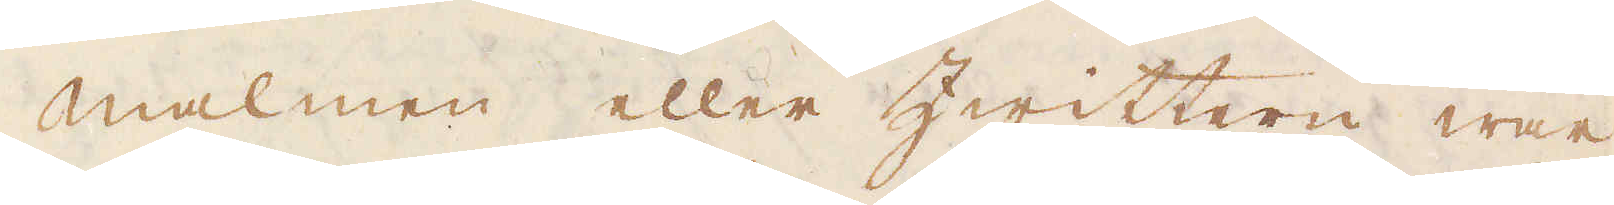Malmen eller Zwittern war
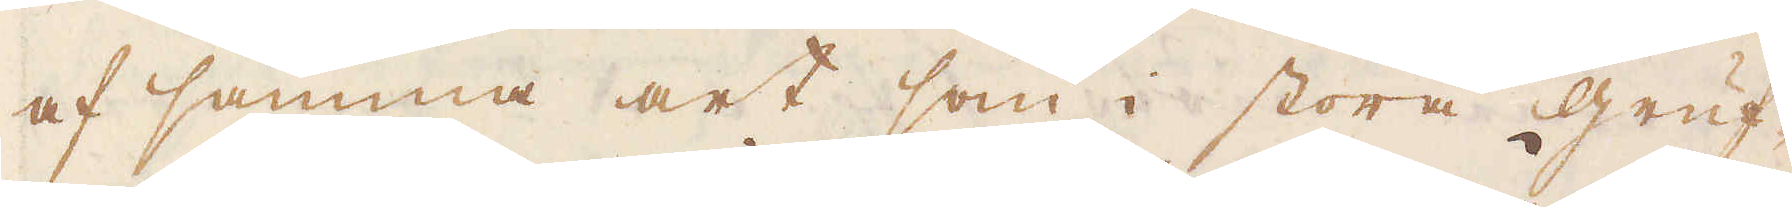af samma art som i stora gruf-
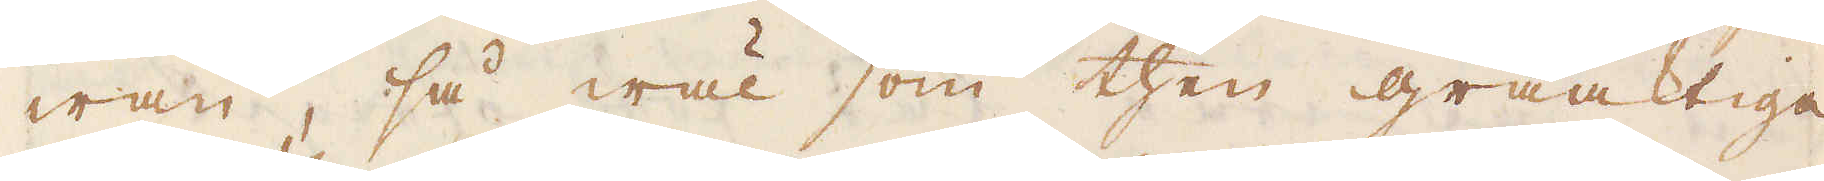wan, så wäl som then gråaktiga
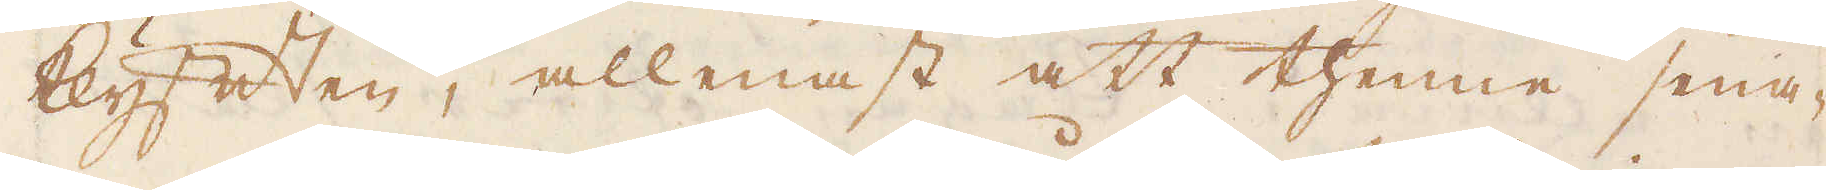klyften, allenast att thenne sena-
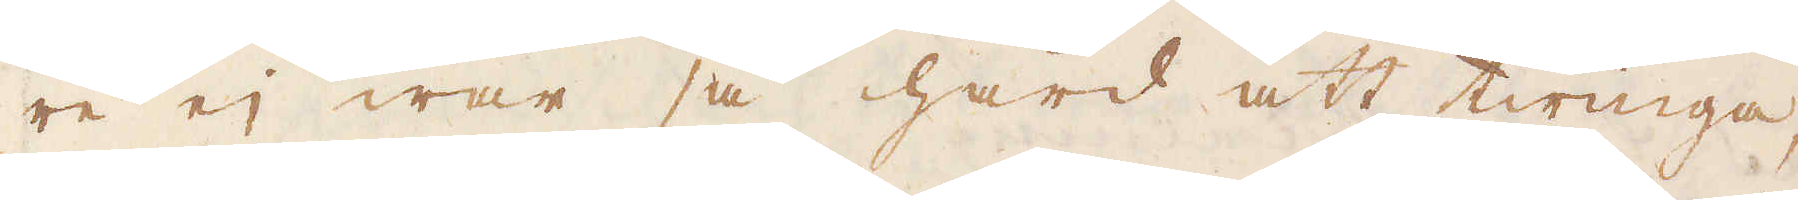re ej war så hård att twinga,
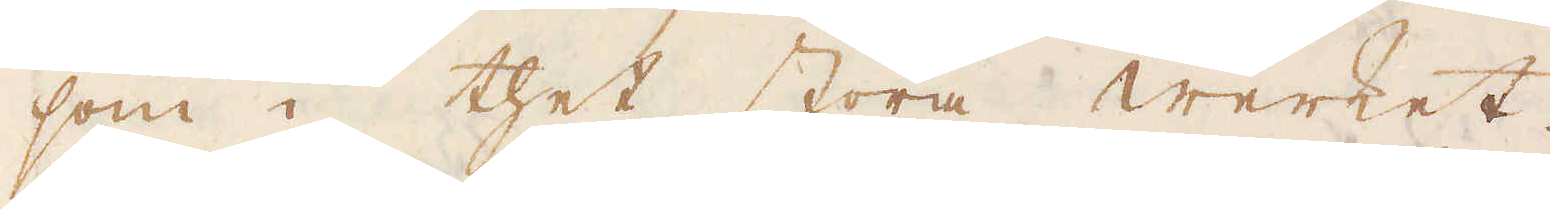som i thet stora werket.
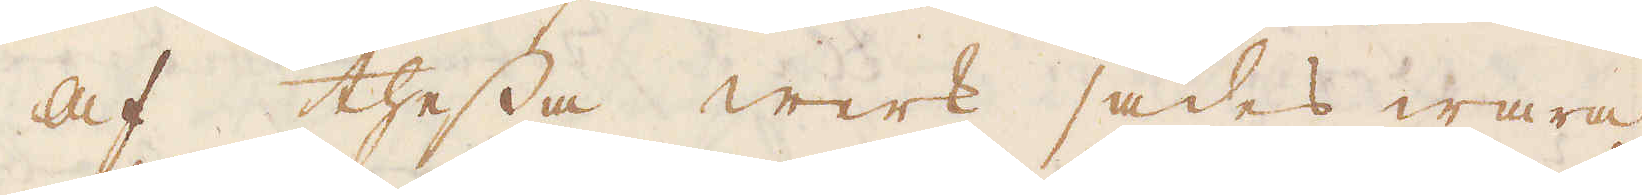Af thessa werk sades wara
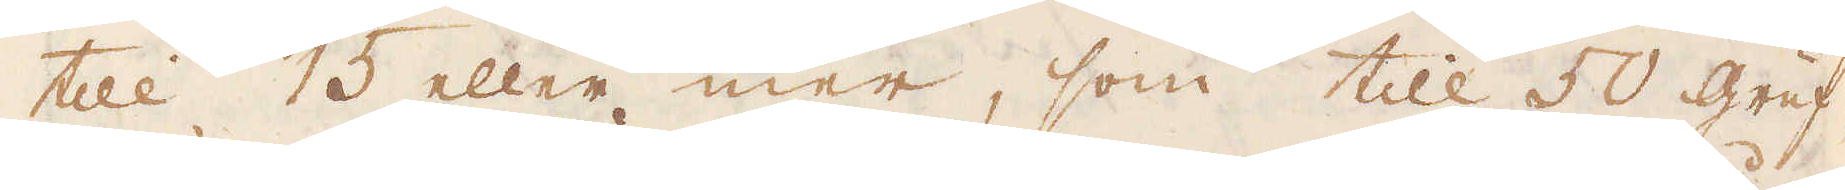till 15 eller mer, som till 50 gruf-
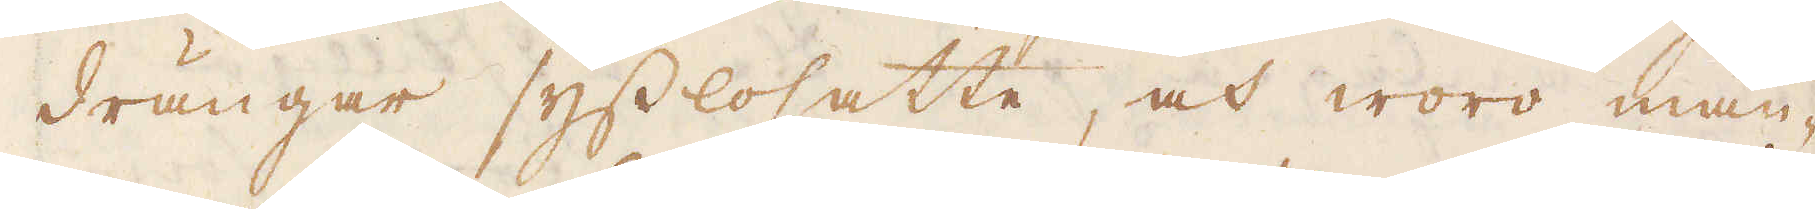drängar sysslosatte, och woro mån-
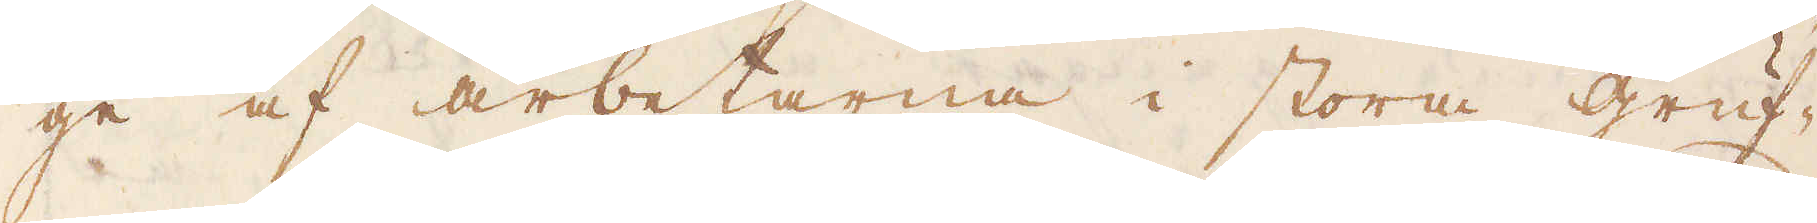ge af arbetarna i stora gruf-
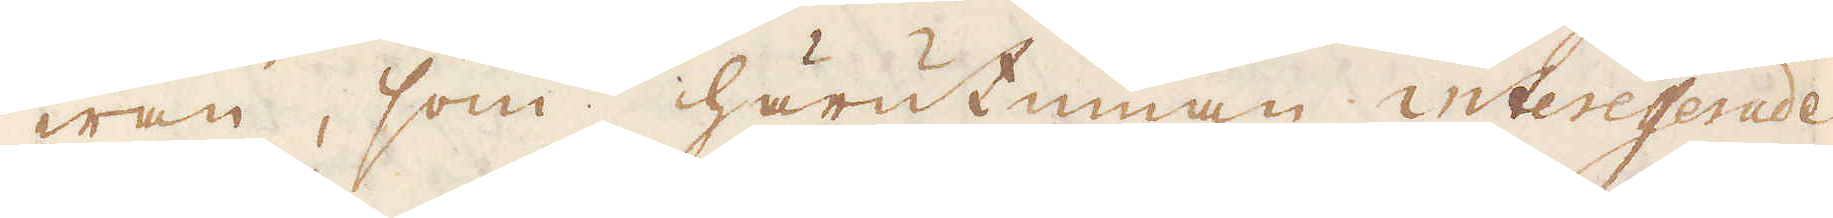wan, som härutinnan interesserade.
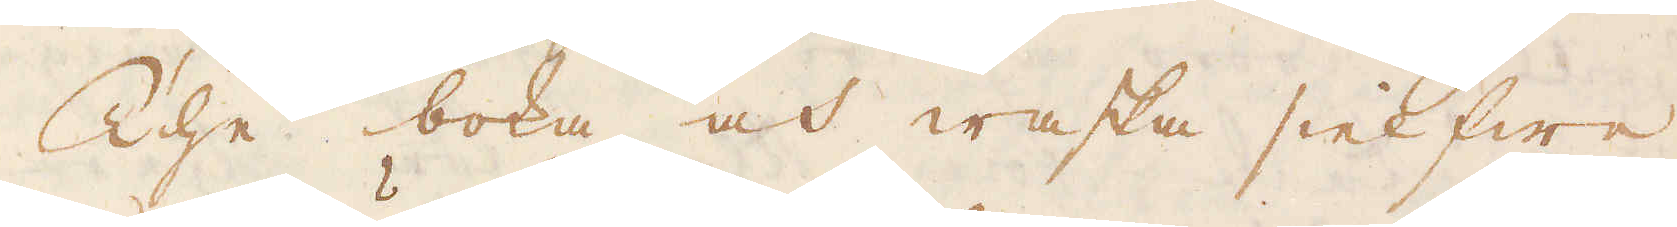The boka och waska sielfwe
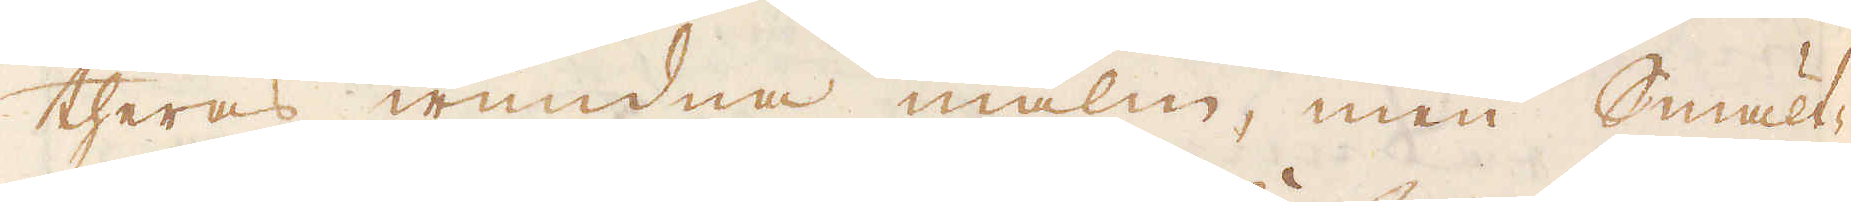theras wundna malm, men Smält-
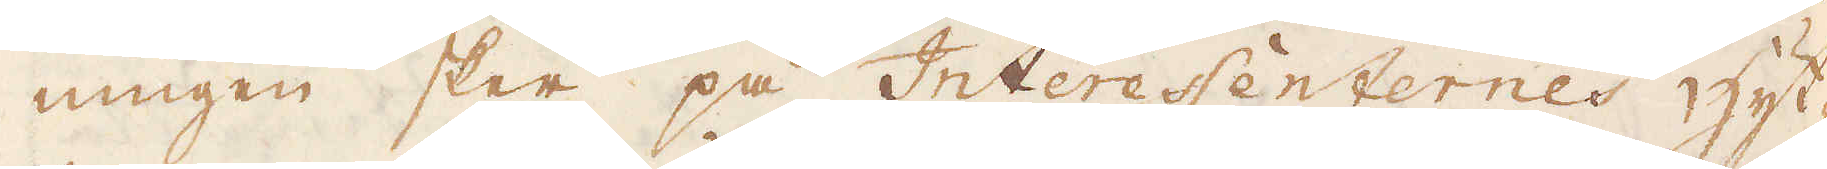ningen sker på Interessenternes hyt-
